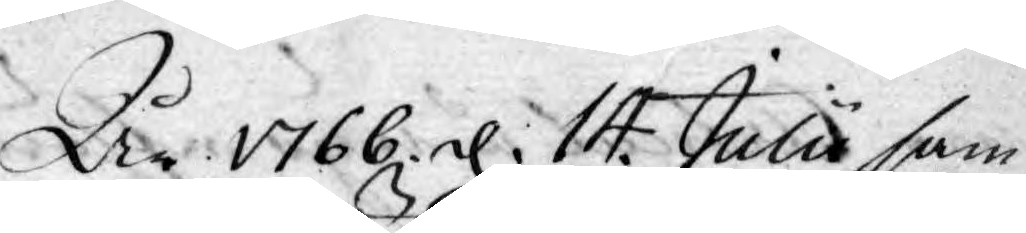År 1766 d. 14. Julii sam¬
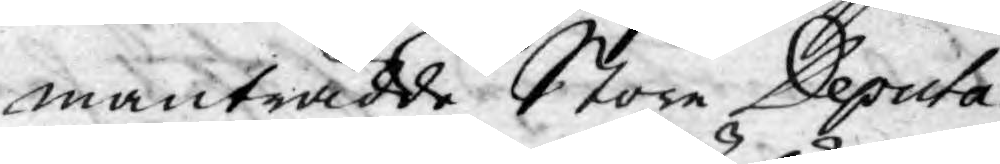manträdde Stora Deputa¬
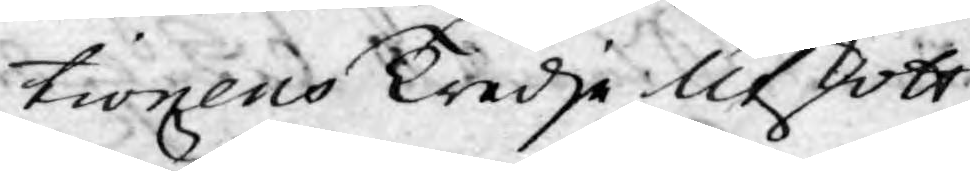tionens Tredje Utskott
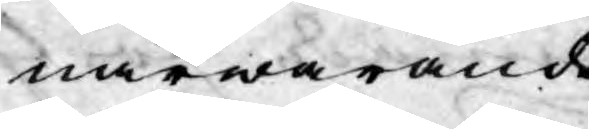närwarande
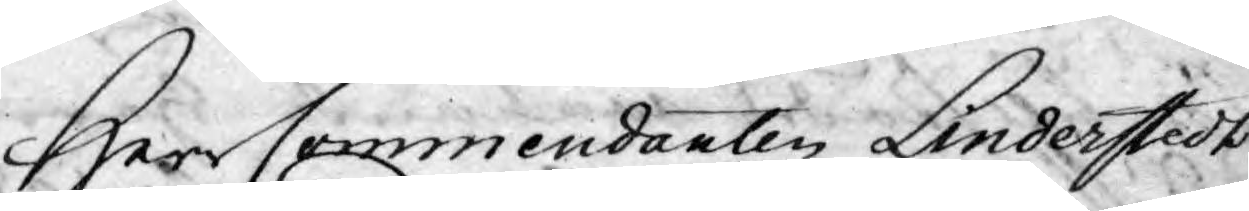Herr Commendanten Linderstedt
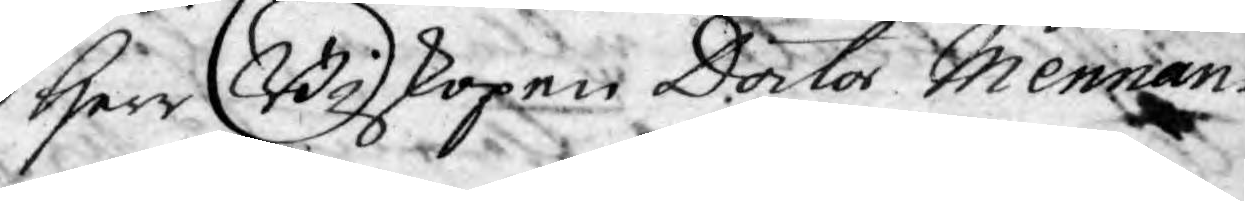Herr Biskopen Doctor Mennan¬
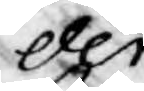der
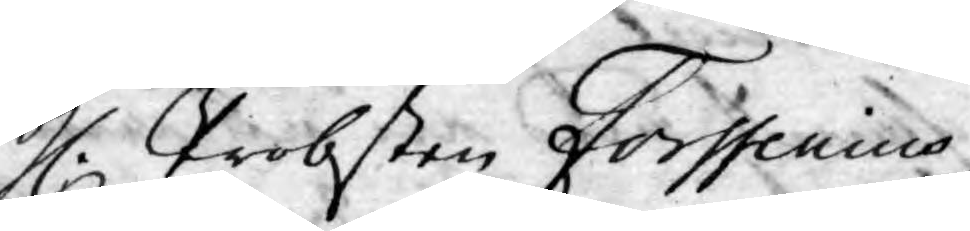H. Probsten Forssenius,
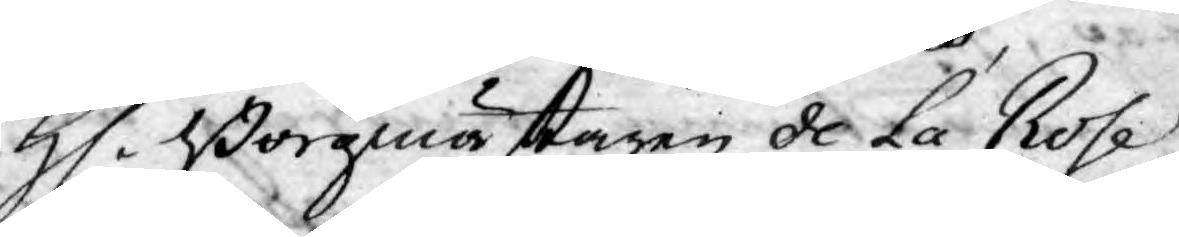H. Borgmästaren de La Rose,
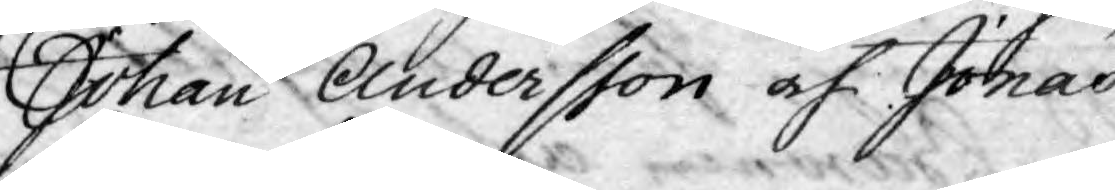Johan Andersson och Jonas
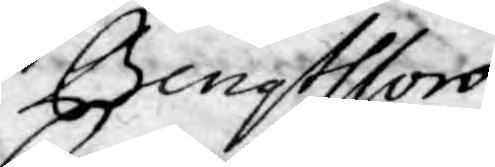Bengtsson.
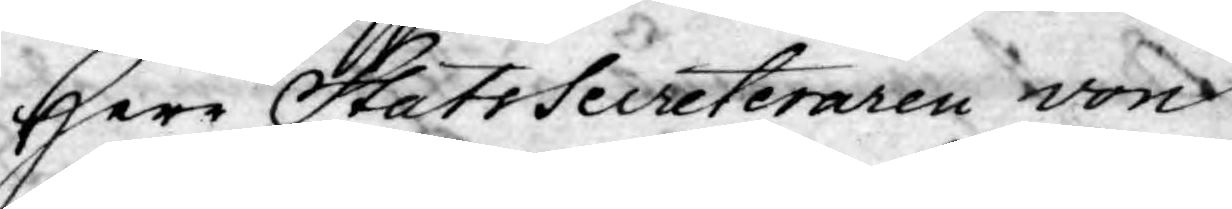Herr StatsSecreteraren von
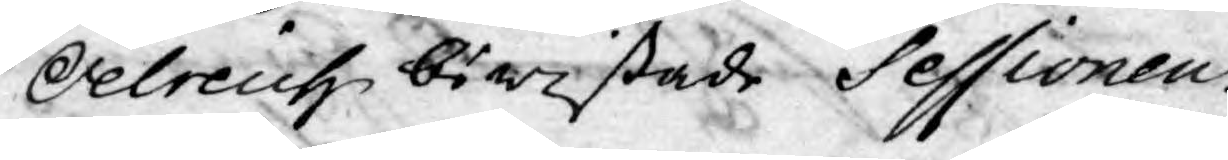Oelreich bewistade Sessionen
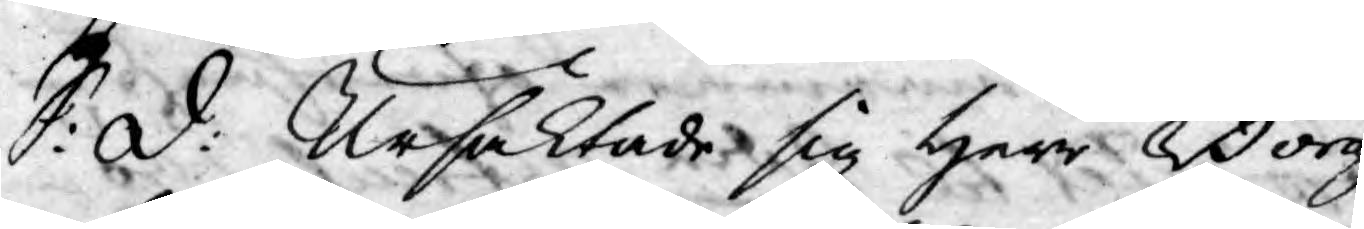S: d: Ursäktade sig Herr Borg¬
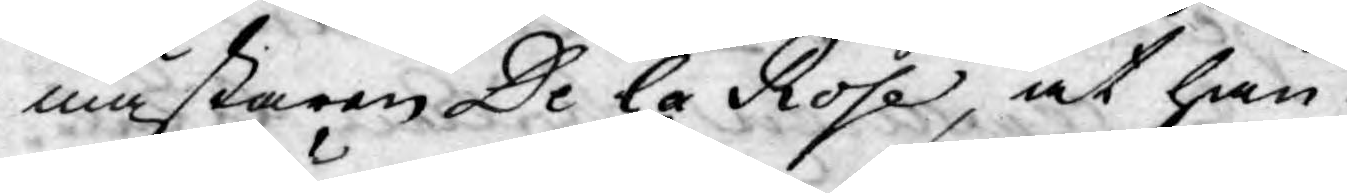mästaren De la Rose, at han
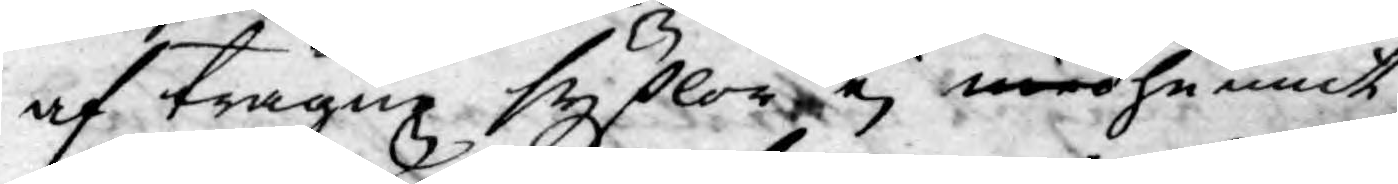af trägne sysslor ej medhunnit
